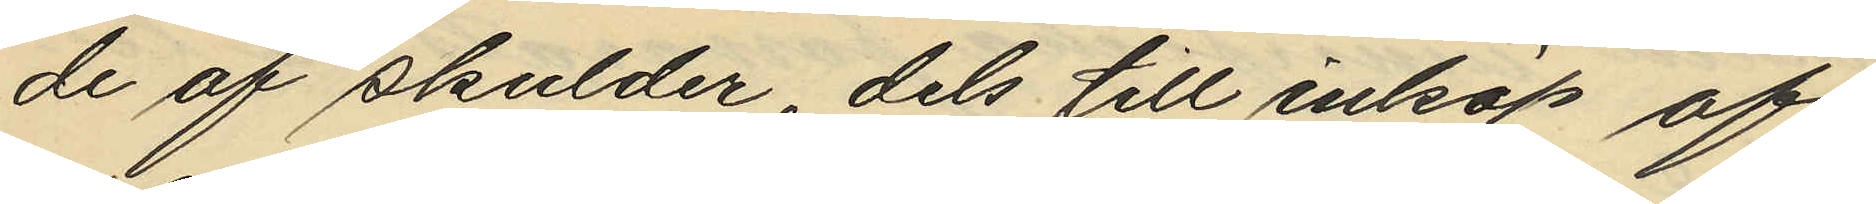de af skulder, dels till inköp af
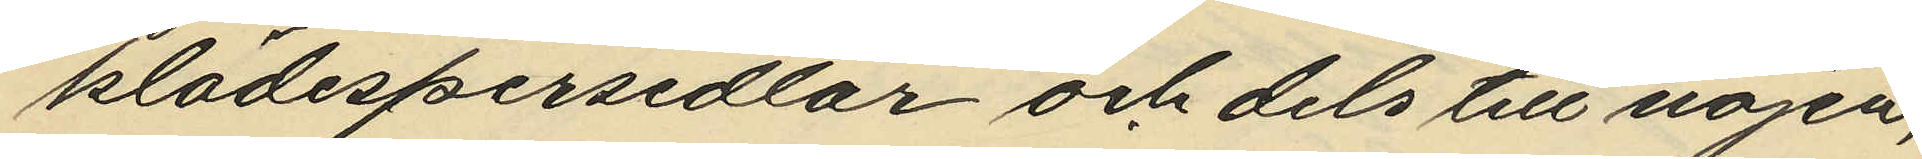klädespersedlar och dels till nöjen,
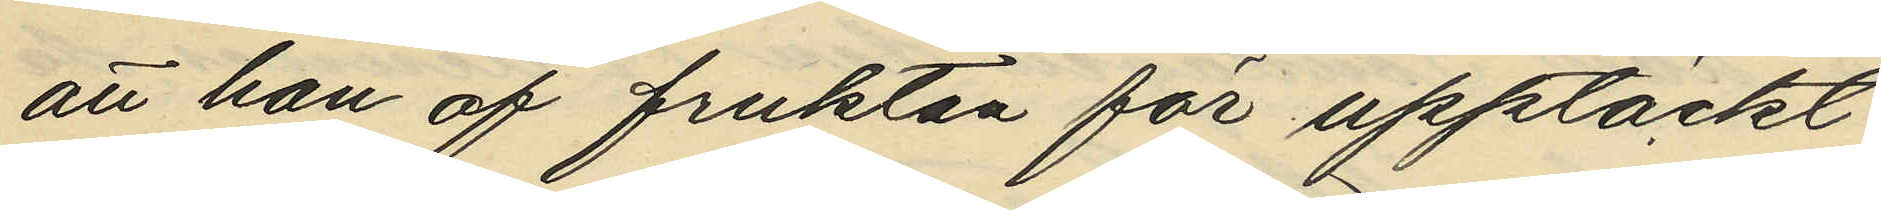att han af fruktan för upptäckt
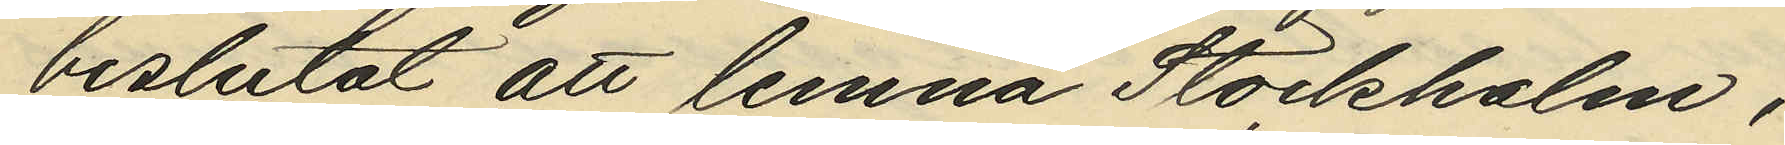beslutat att lemna Stockholm,
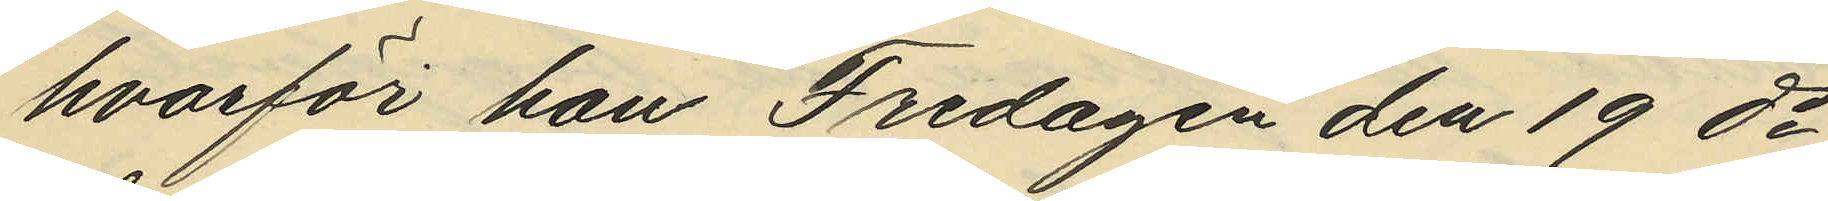hvarför han Fredagen den 19 ds
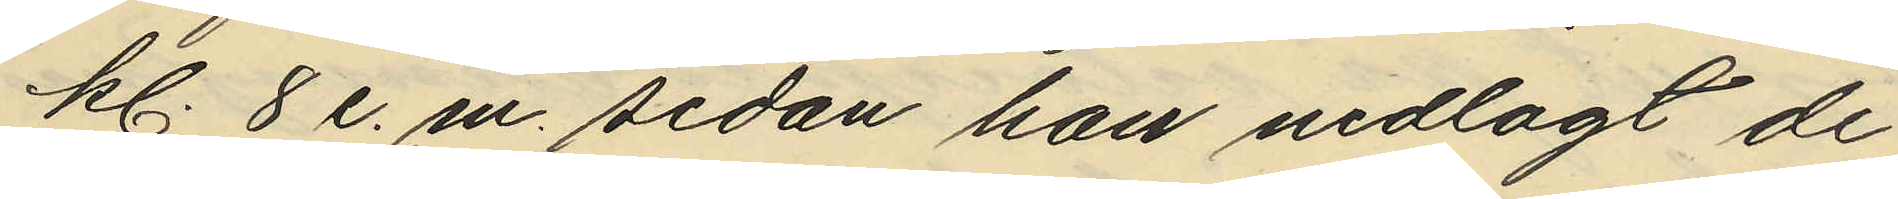kl. 8 e.m. sedan han nedlagt de
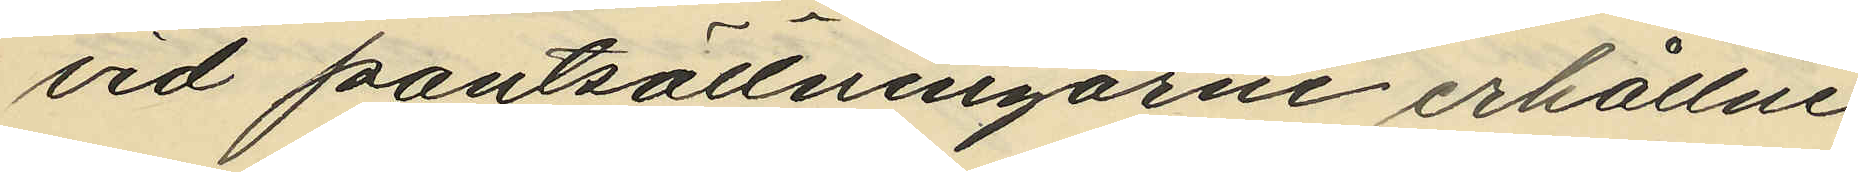vid pantsättningarne erhållne
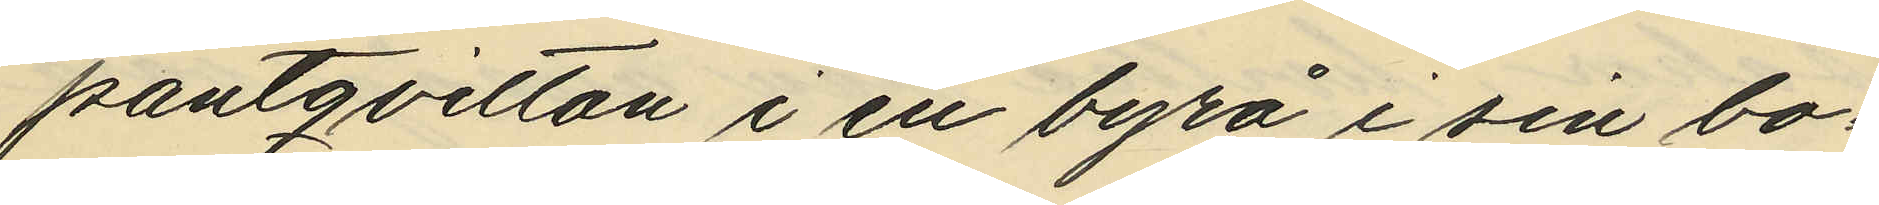pantqvitton i en byrå i sin bo¬
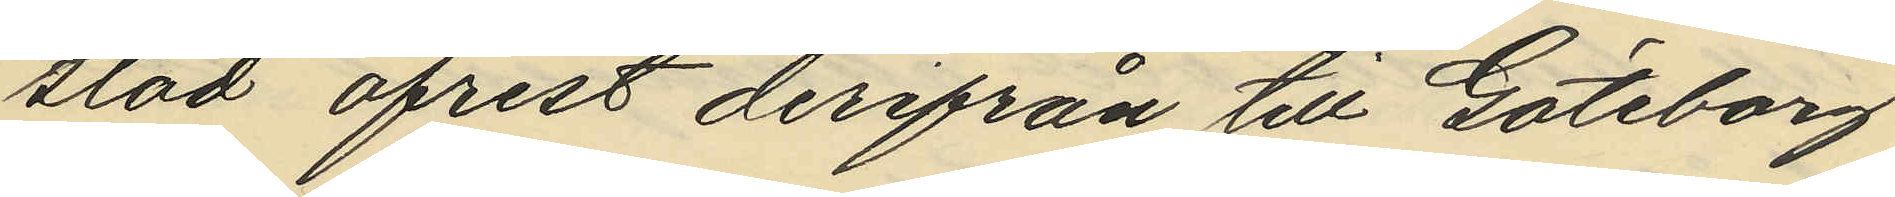stad afrest derifrån till Göteborg
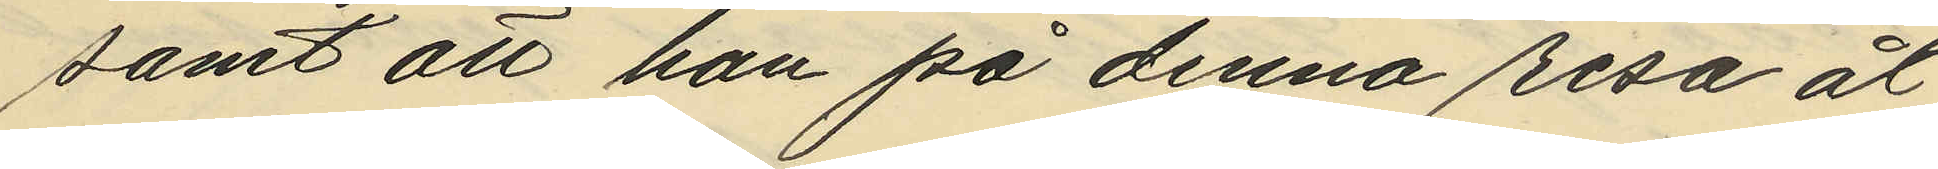samt att han på denna resa åt¬
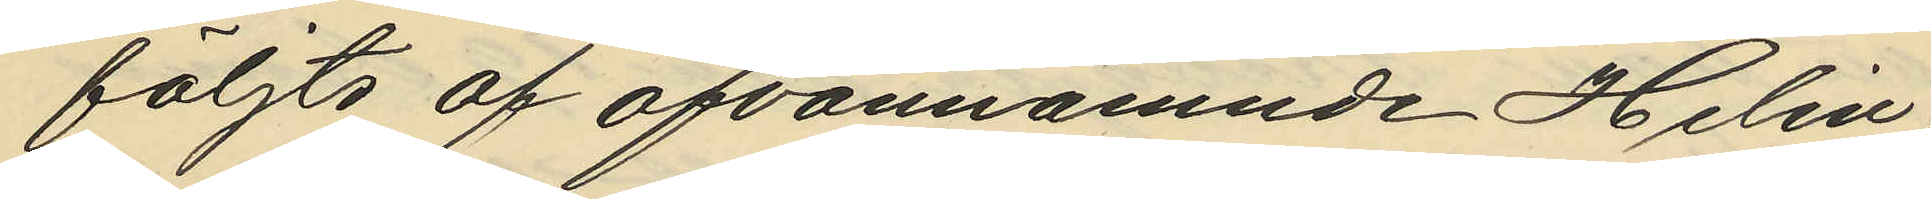följts af ofvannämnde Helin
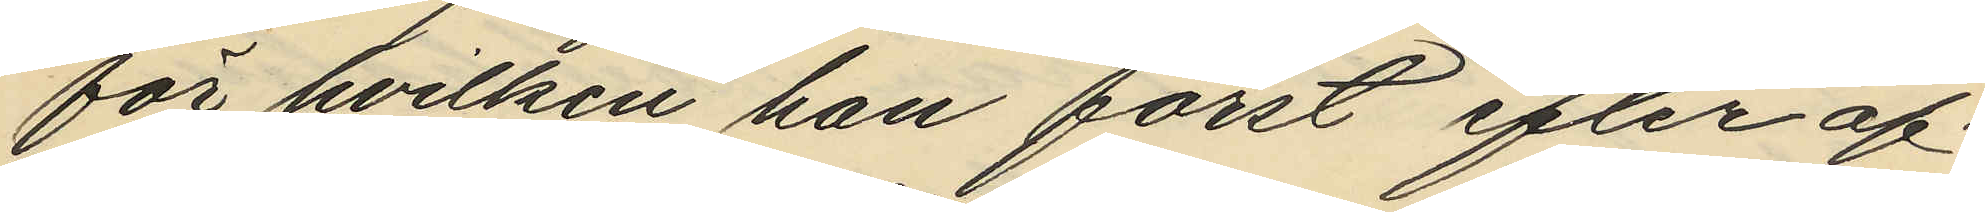för hvilken han först efter af¬
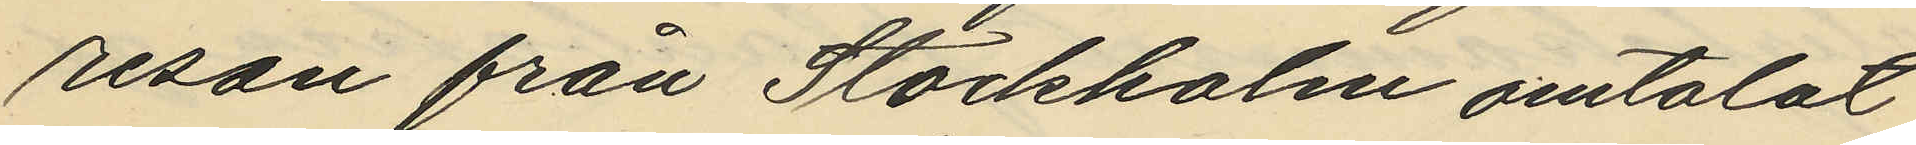resan från Stockholm omtalat
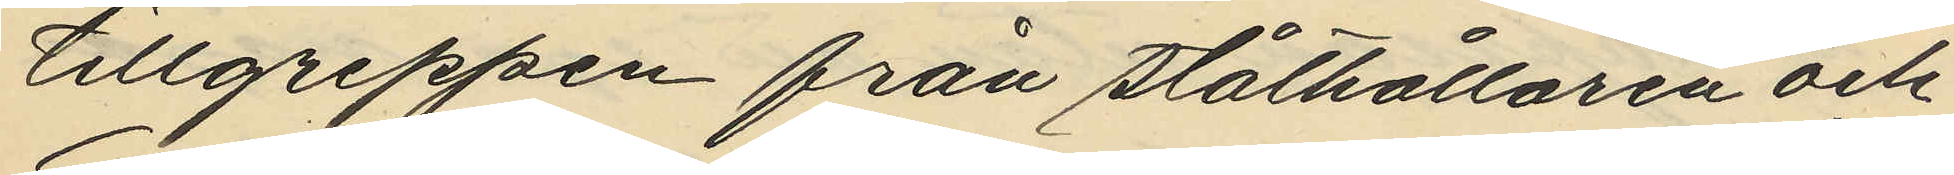tillgreppen från ståthållaren och
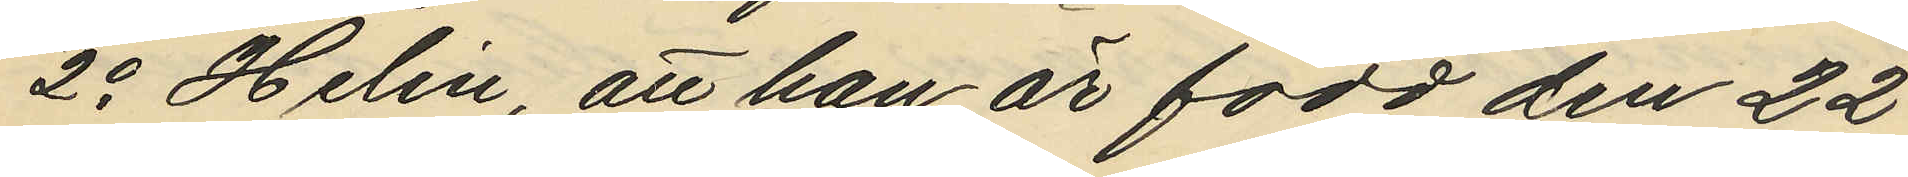2o Helin, att han är född den 22
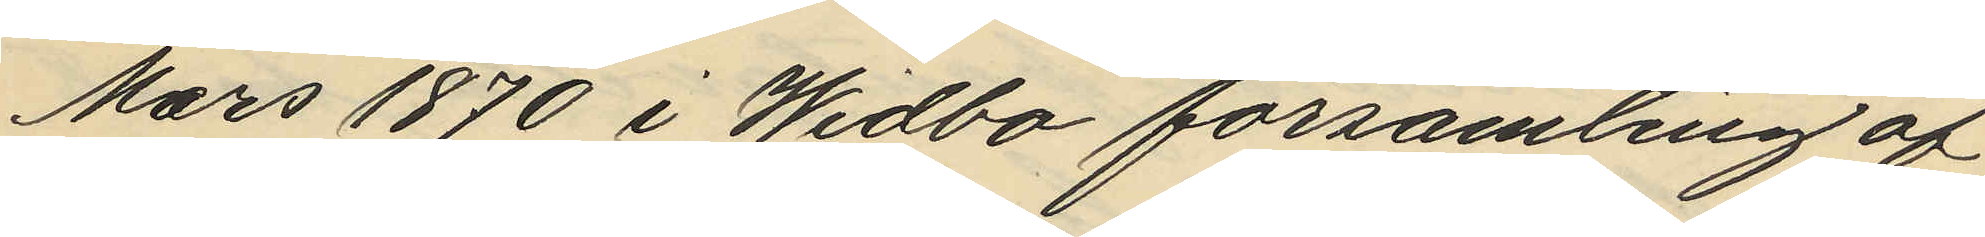Mars 1870 i Widbo församling af
